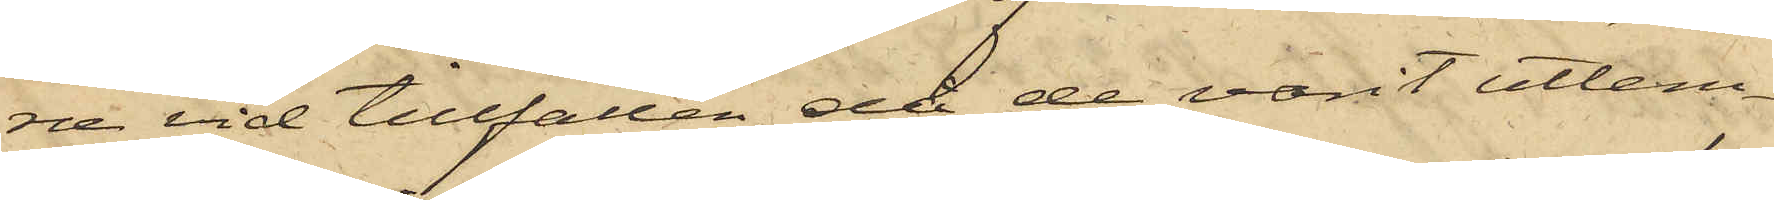ne vid tillfällen, då de varit utlem¬
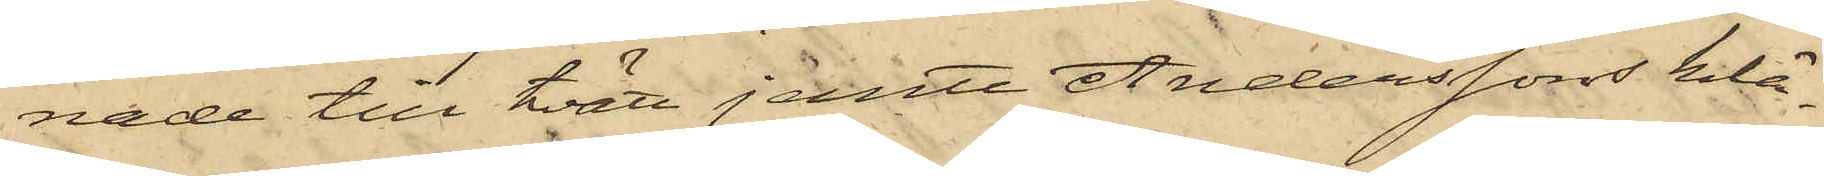nade till tvätt jemte Anderssons klä¬
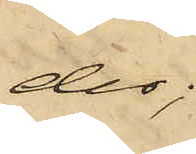der;
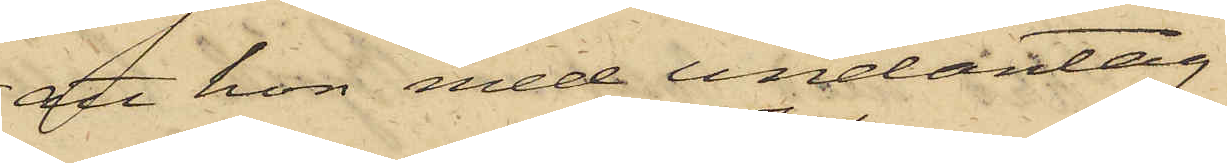att hon med undantag
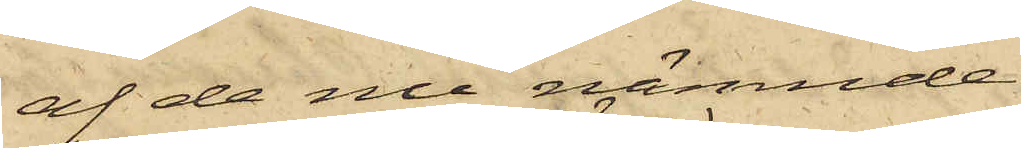af de nu nämnde
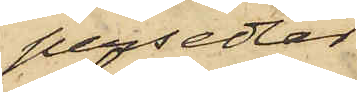persedlar
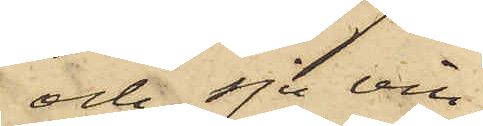och sju vin¬
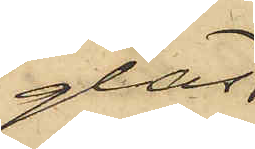glas
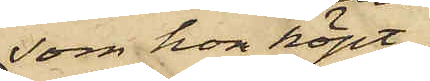som hon köpt
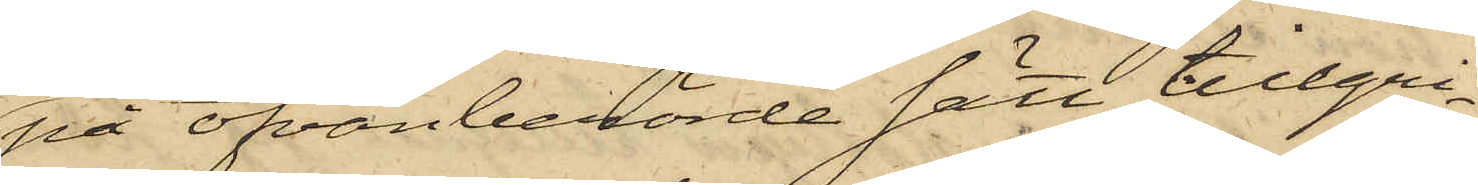på ofvanberörde sätt tillgri¬
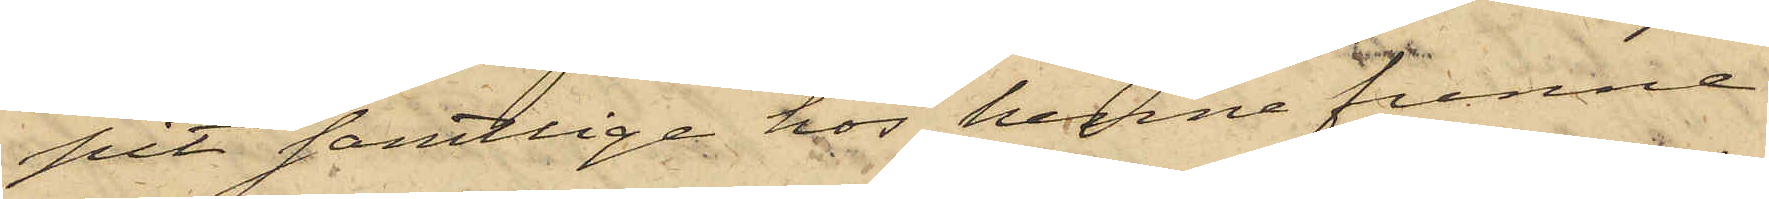pit samtlige hos henne funne
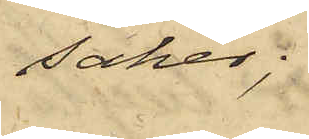saker;
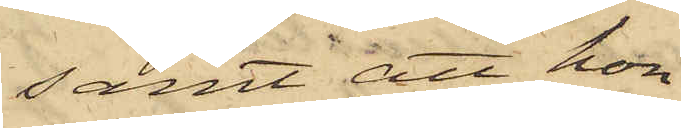samt att hon
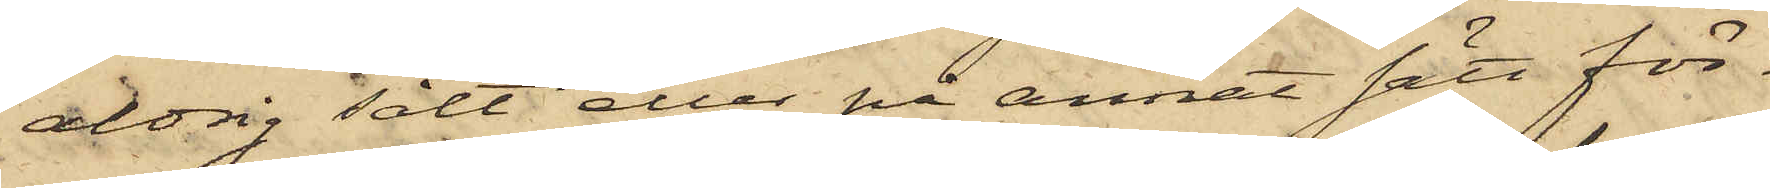aldrig sålt eller på annat sätt för¬
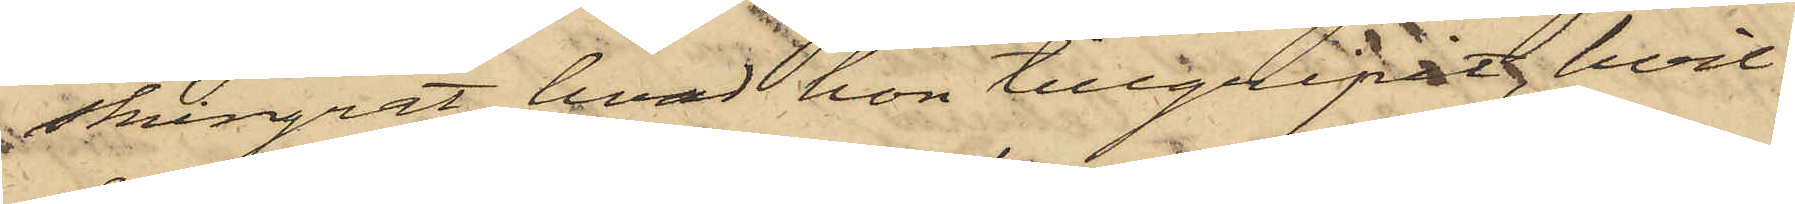skingrat hvad hon tillgripit, hvil¬
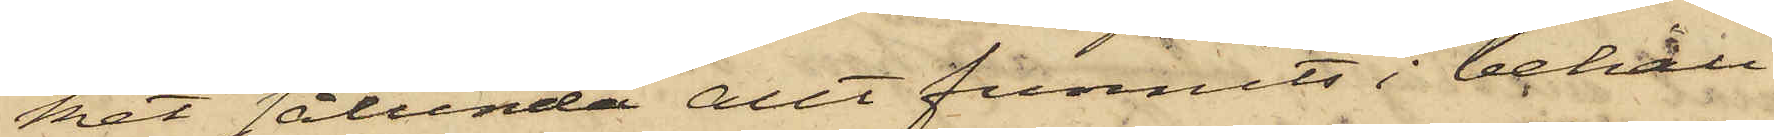het sålunda allt funnits i behåll
